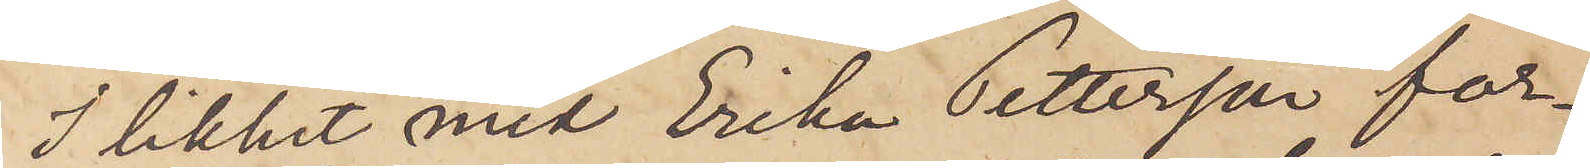I likhet med Erika Pettersson för¬
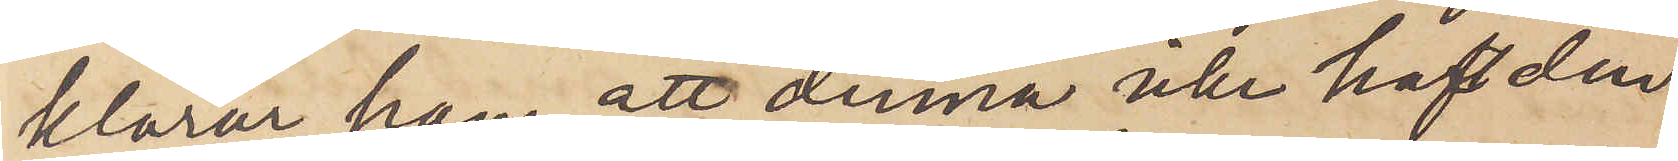klarar han, att denna icke haft den
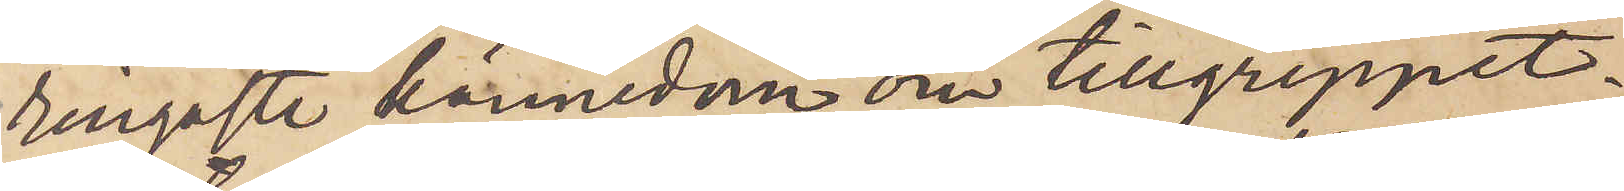ringaste kännedom om tillgreppet.
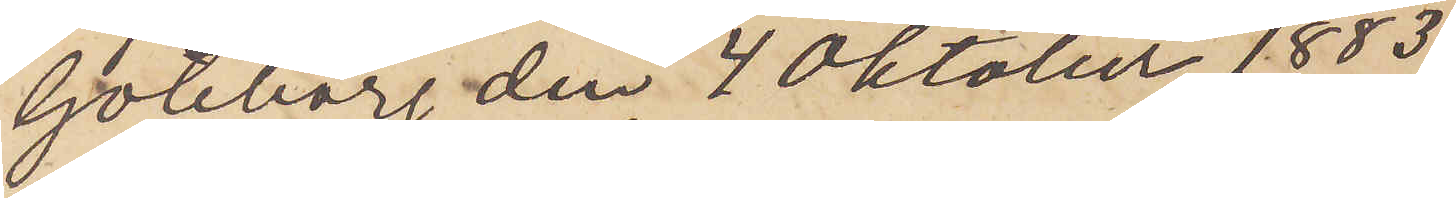Göteborg den 4 Oktober 1883.
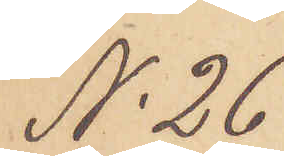No 26
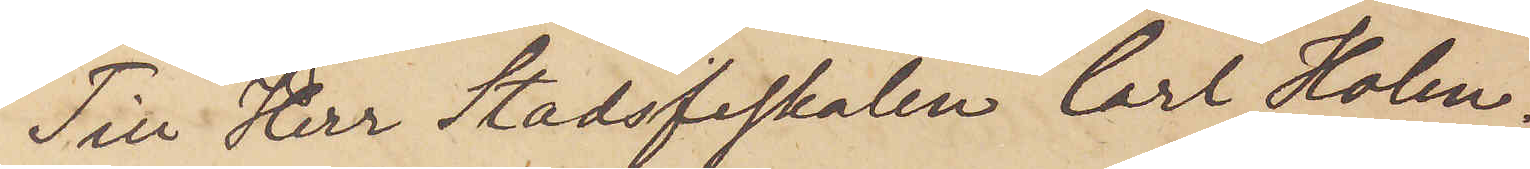Till Herr Stadsfiskalen Carl Holm.
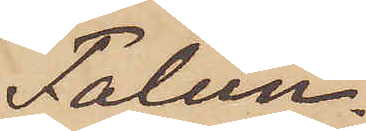Falun.
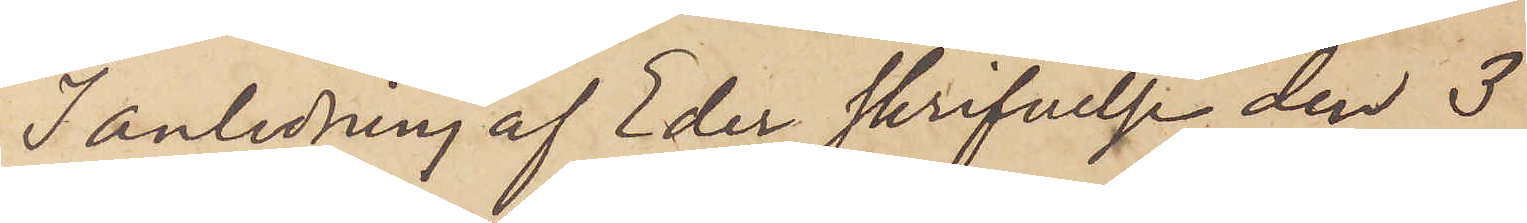I anledning af Eder skrifvelse den 3
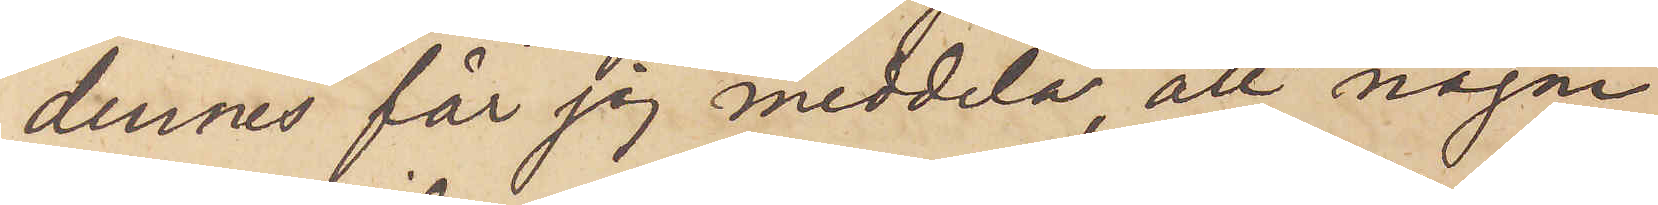dennes får jag meddela, att någon
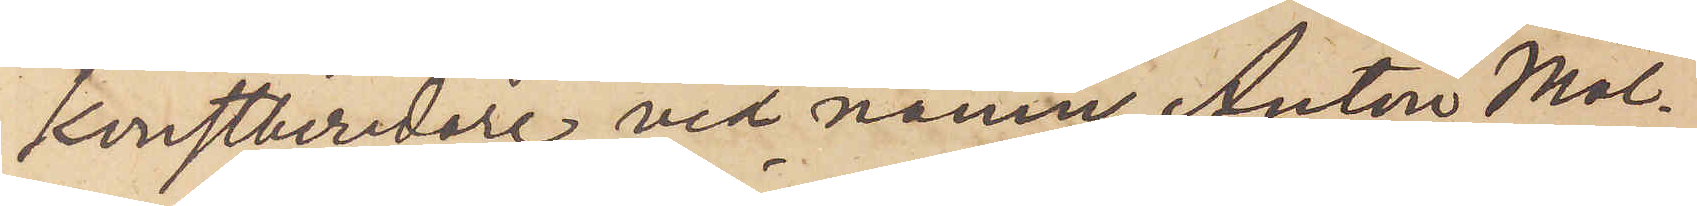Konstberidare vid namn Anton Möl¬
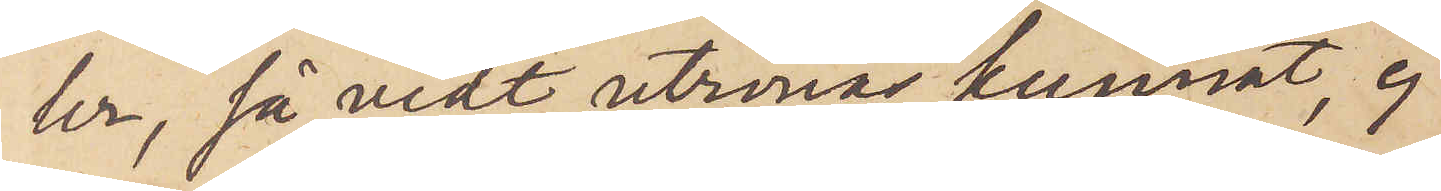ler, så vidt utrönas kunnat, ej
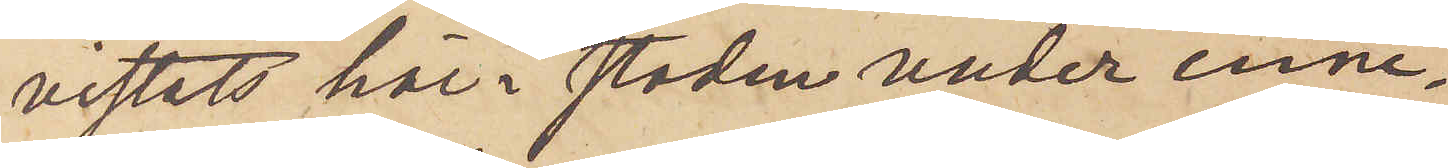vistats här i staden under inne¬
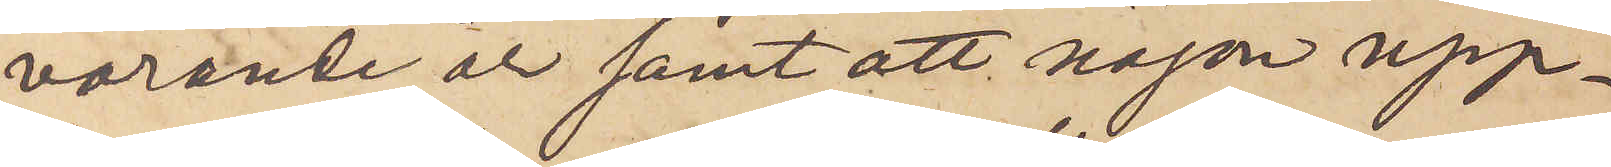varande år samt att någon upp¬
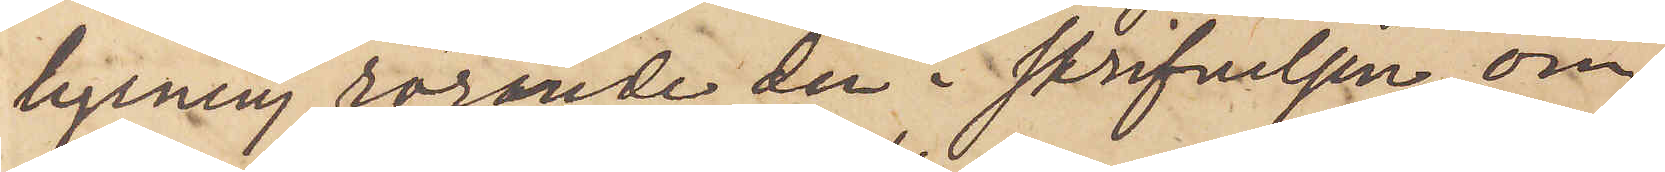lysning rörande den i skrifvelsen om¬
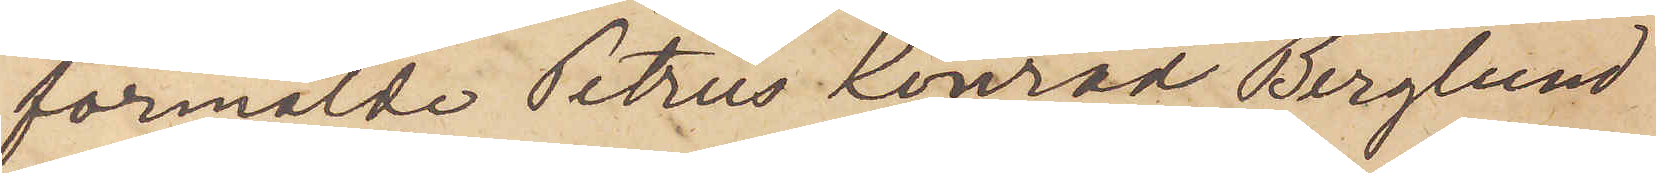förmälde Petrus Konrad Berglund
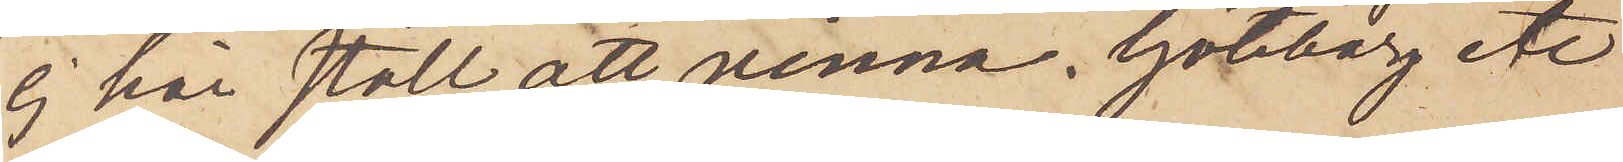ej här stått att vinna. Göteborg etc
